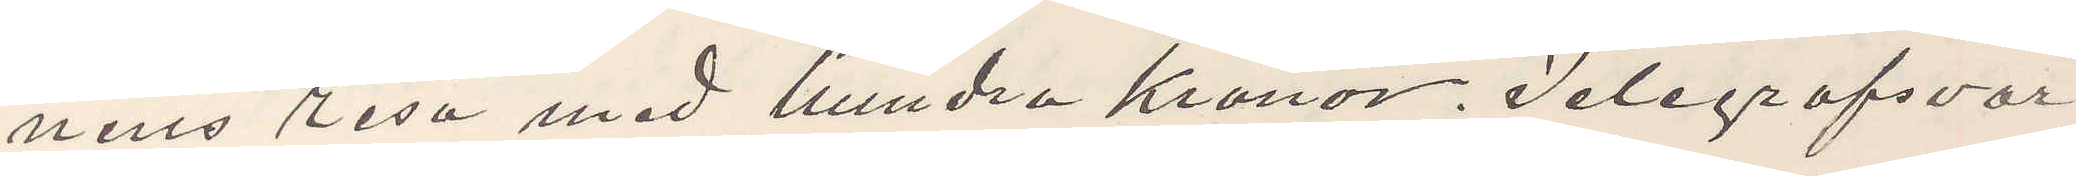nens resa med hundra Kronor. Telegrafsvar
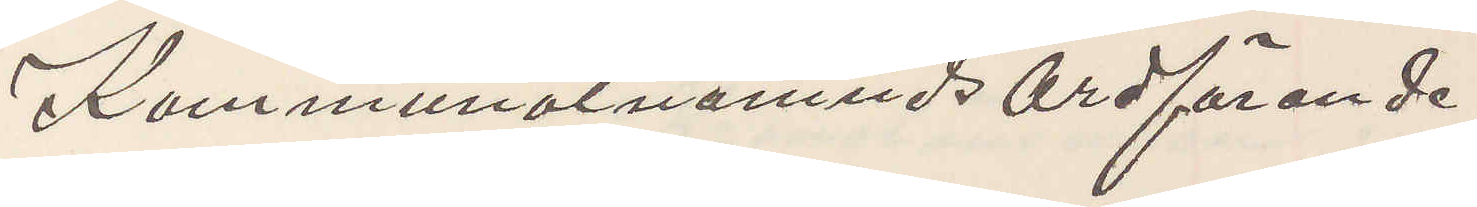Kommunalnämnds Ordförande
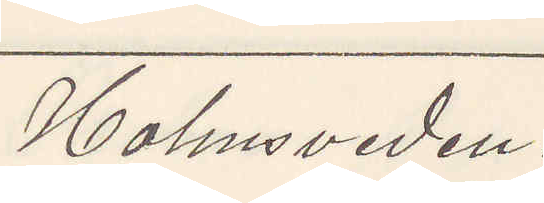Holmsveden.
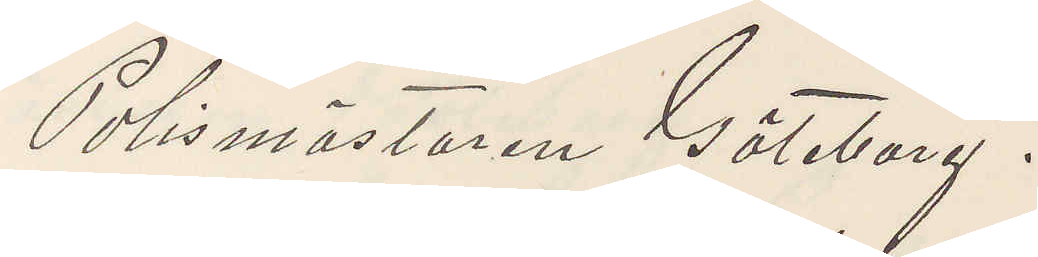Polismästaren Göteborg.
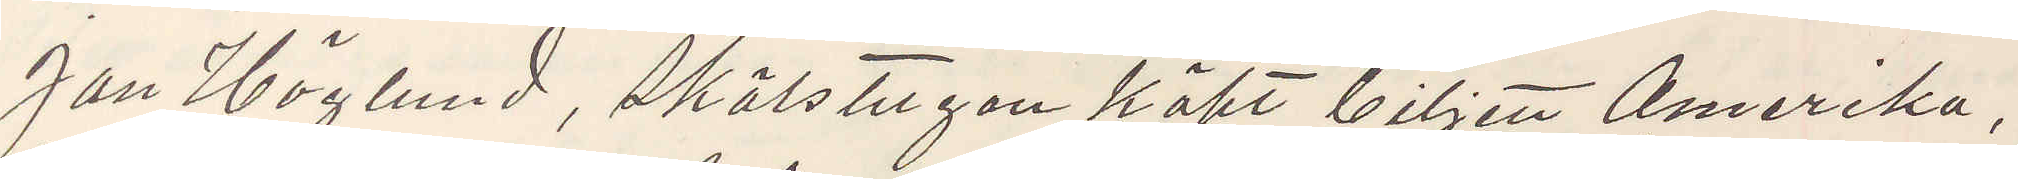Jan Höglund, Skälstugan köpt biljett Amerika,
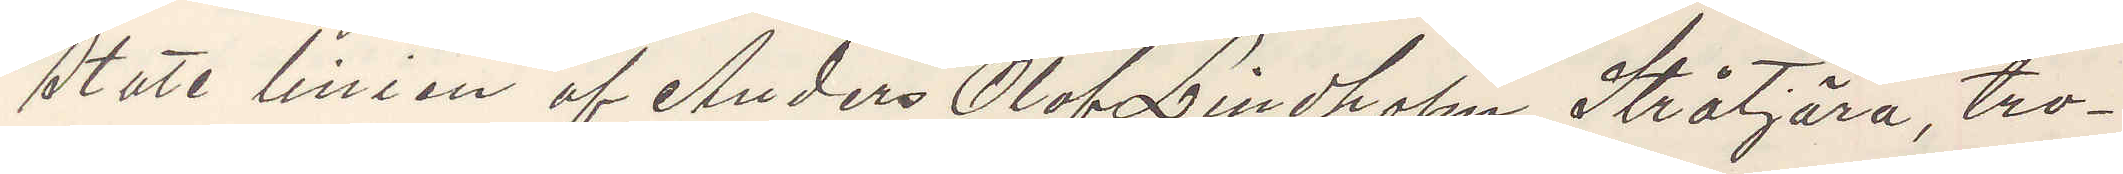State linien af Anders Olof Lindholm Stråtjära, tro¬
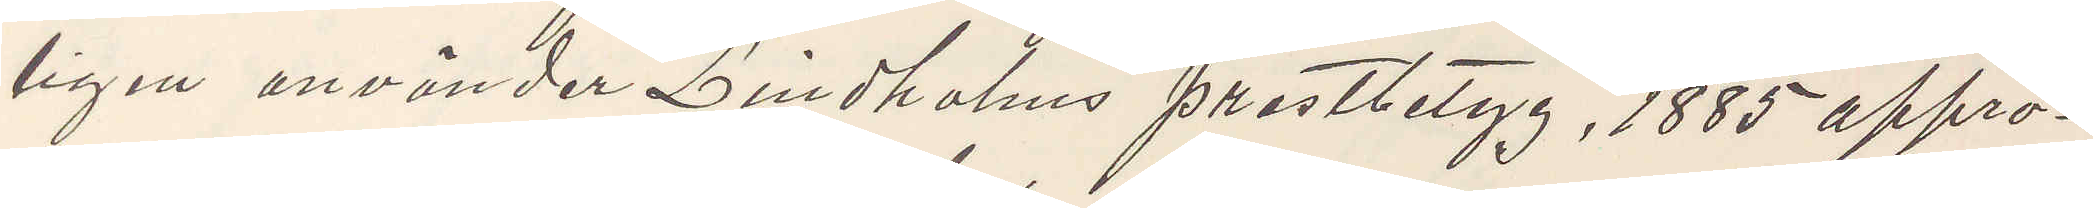ligen använder Lindholms prästbetyg, 1885 appro¬
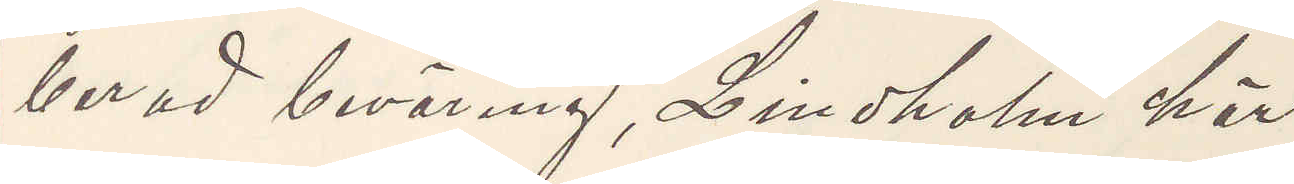berad beväring, Lindholm här.
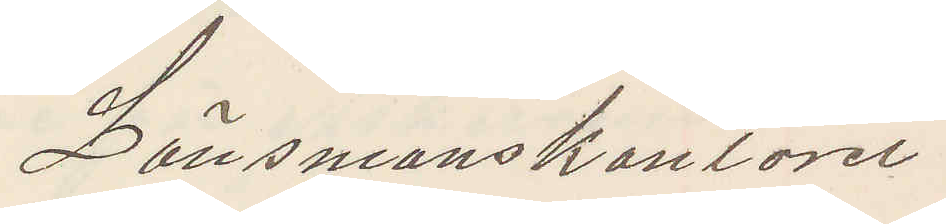Länsmanskontoret
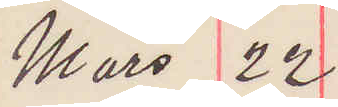Mars 22
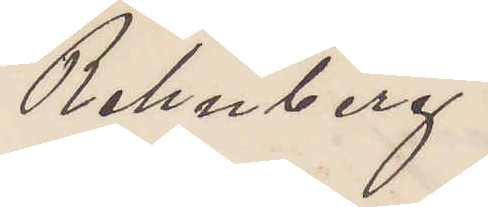Rehnberg
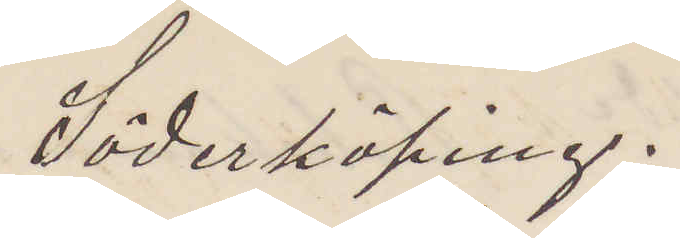Söderköping.
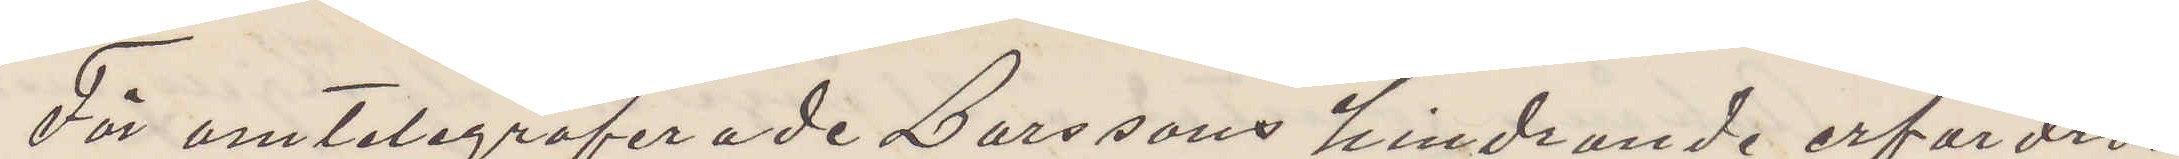För omtelegraferade Larssons hindrande erfordras
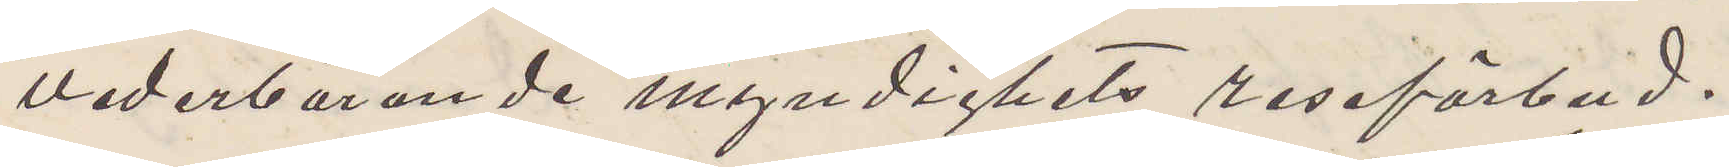vederbörande myndighets reseförbud.
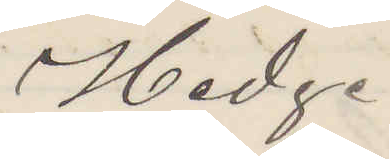Hedge
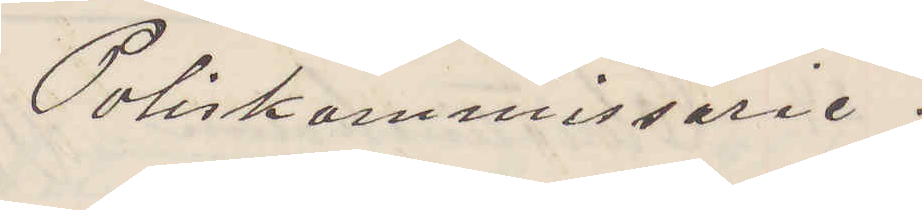Poliskommissarie.
